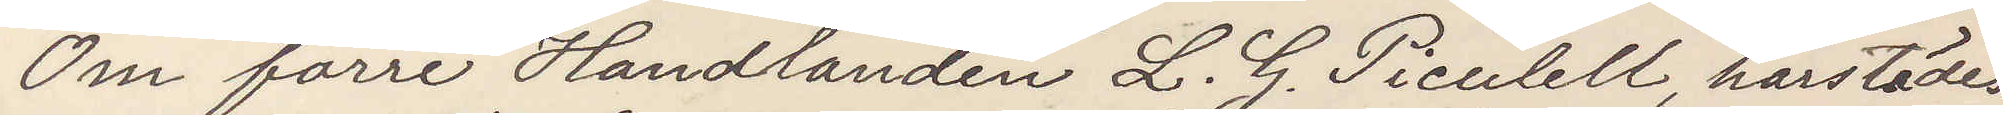Om förre Handlanden L. G. Piculell, härstädes
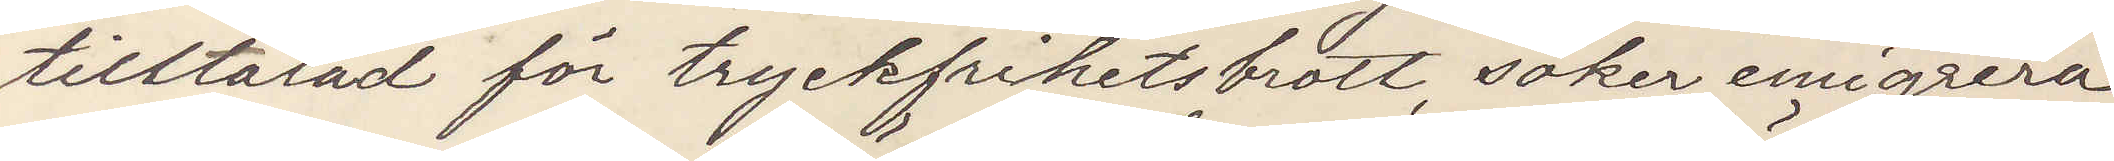tilltalad för tryckfrihetsbrott, söker emigrera
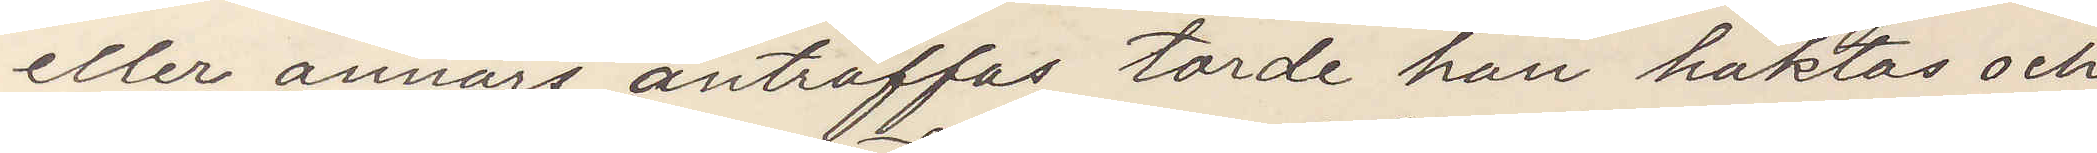eller annars anträffas torde han häktas och
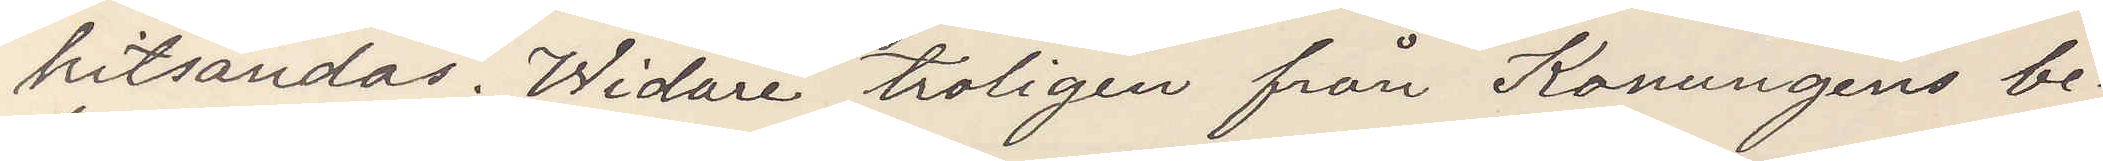hitsändas. Widare troligen från Konungens be¬
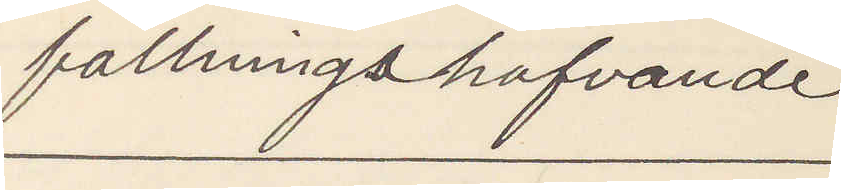fallningshafvande
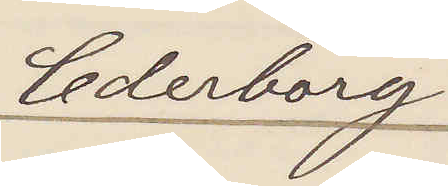Cederborg
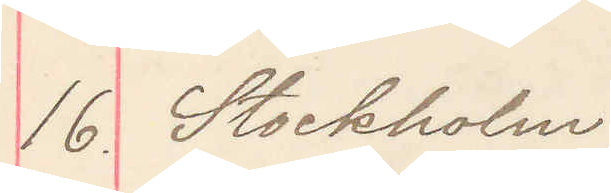16. Stockholm
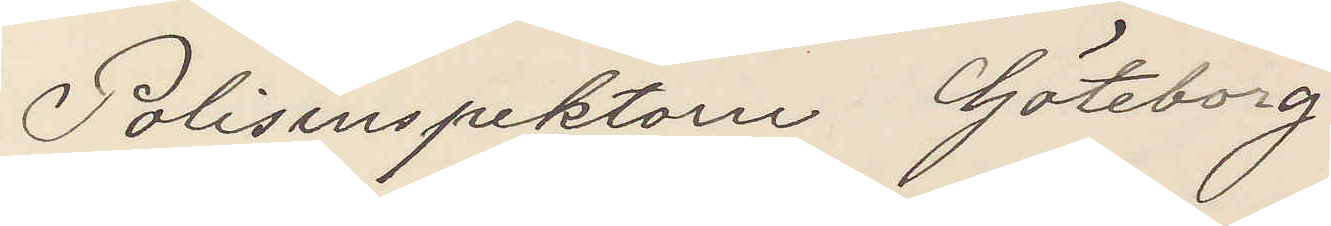Polisinspektorn Göteborg
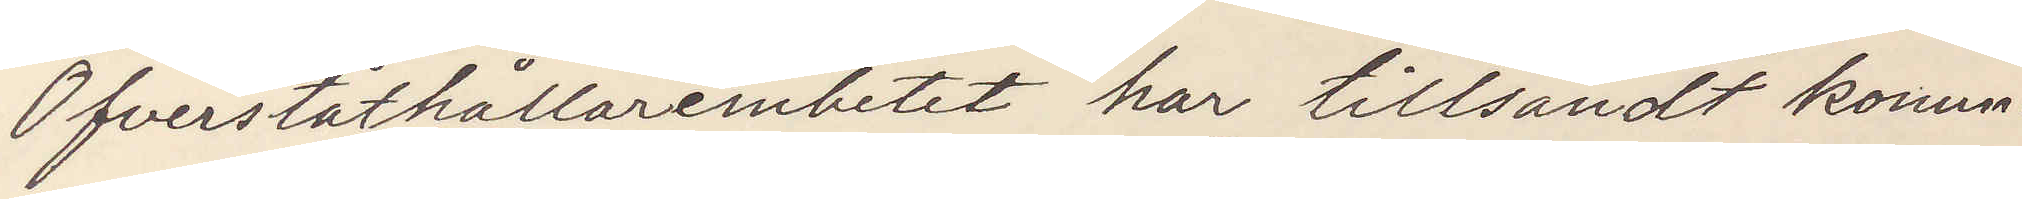Öfverståthållarembetet har tillsändt konun¬
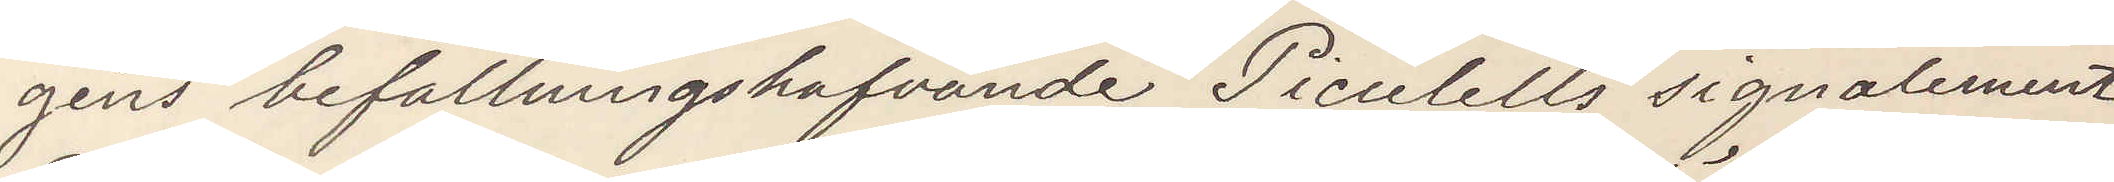gens befallningshafvande Piculells signalement.
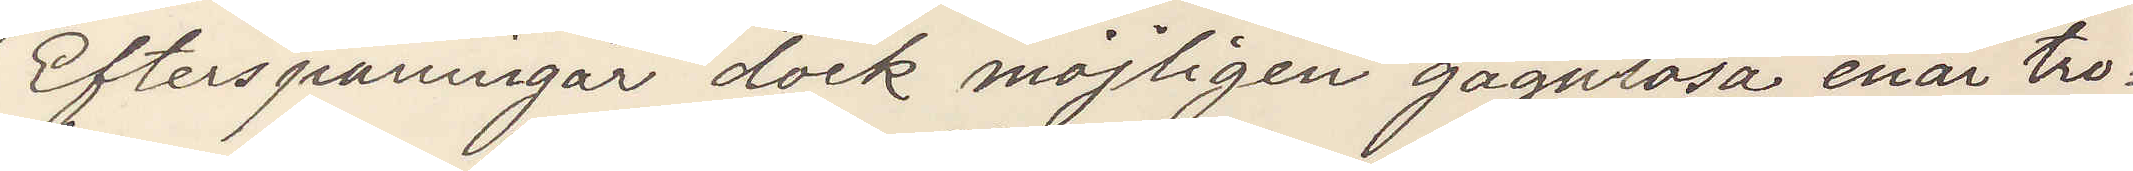Efterspaningar dock möjligen gagnlösa enär tro¬
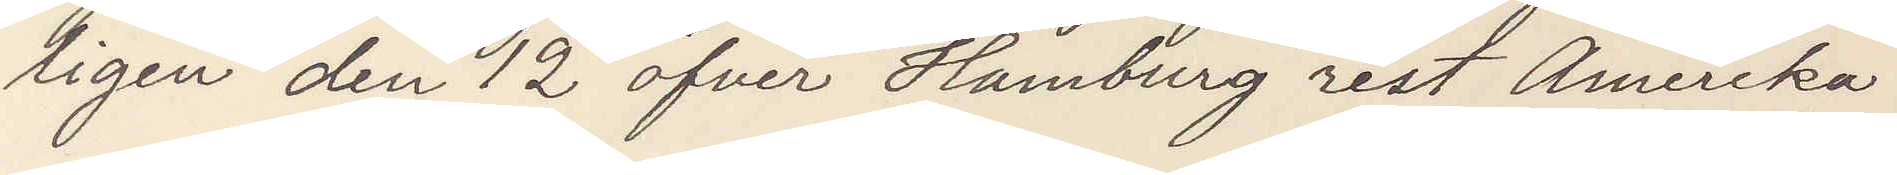ligen den 12 öfver Hamburg rest Amerika.
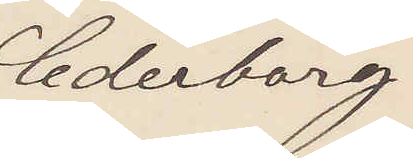Cederborg
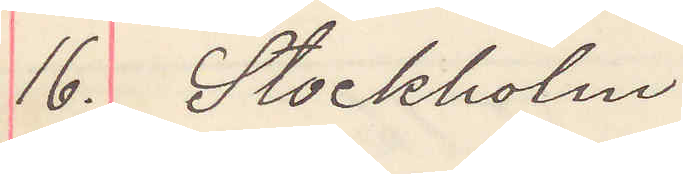16. Stockholm
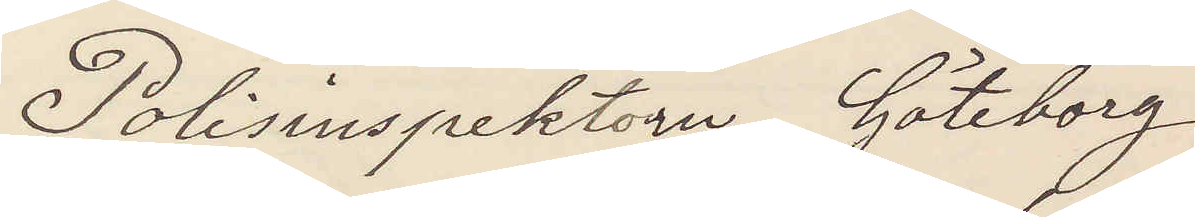Polisinspektorn Göteborg
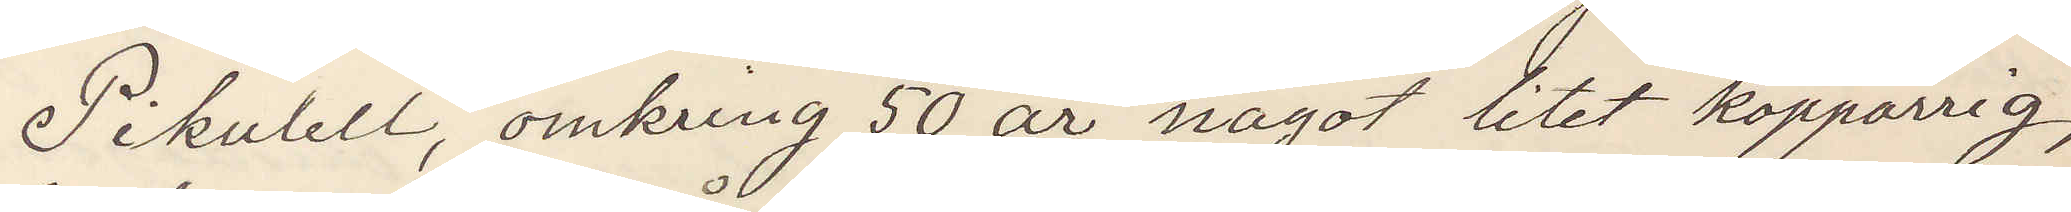Pikulell, omkring 50 år, litet koppärrig,
